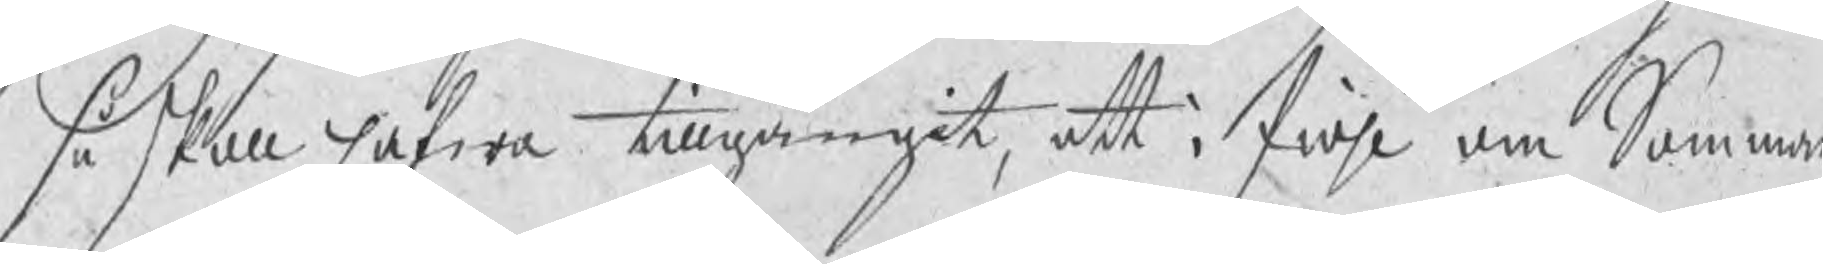så skall hafwa tillgångit, att i fiohl om Sommar
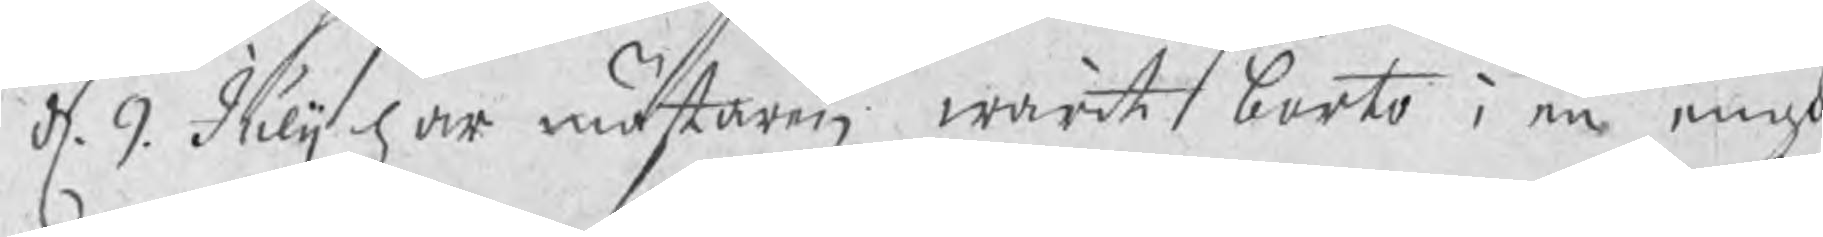d. 9. Julij har mästaren warit borto i en engh
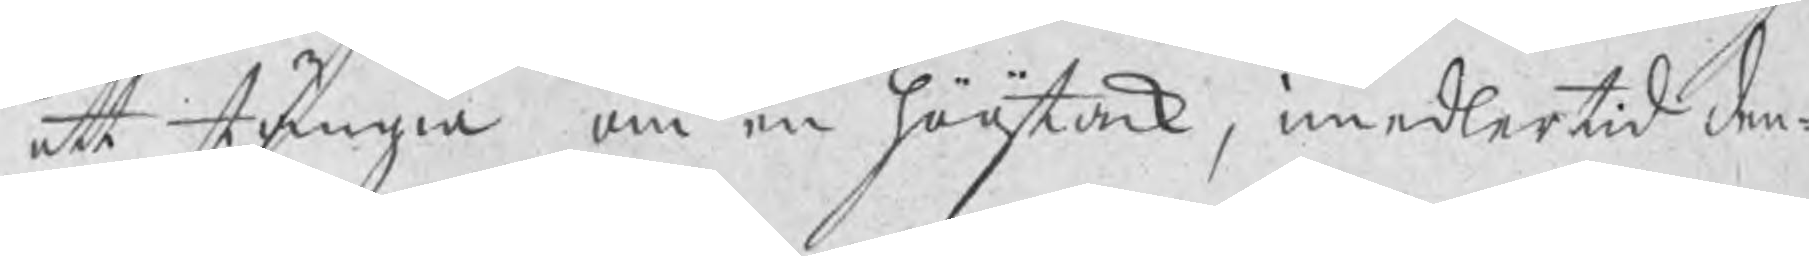att stängia om en hööstack, imedlertid den¬
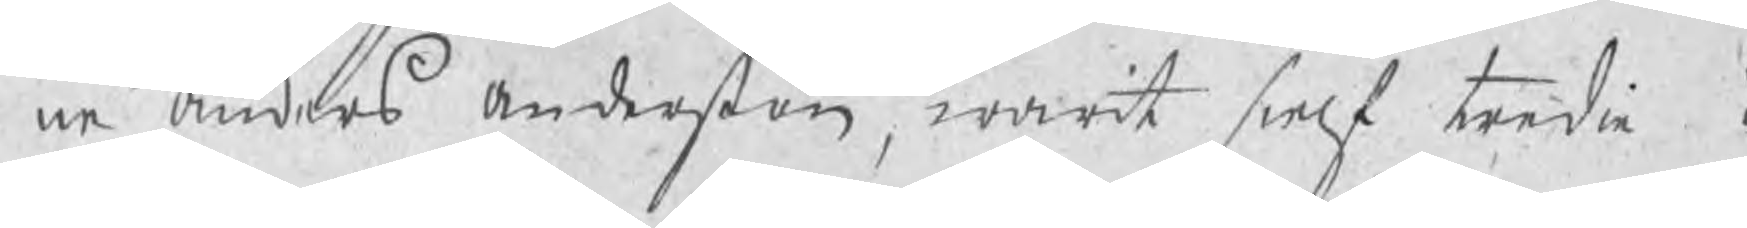ne Anders Anderßon warit sielf tredie i
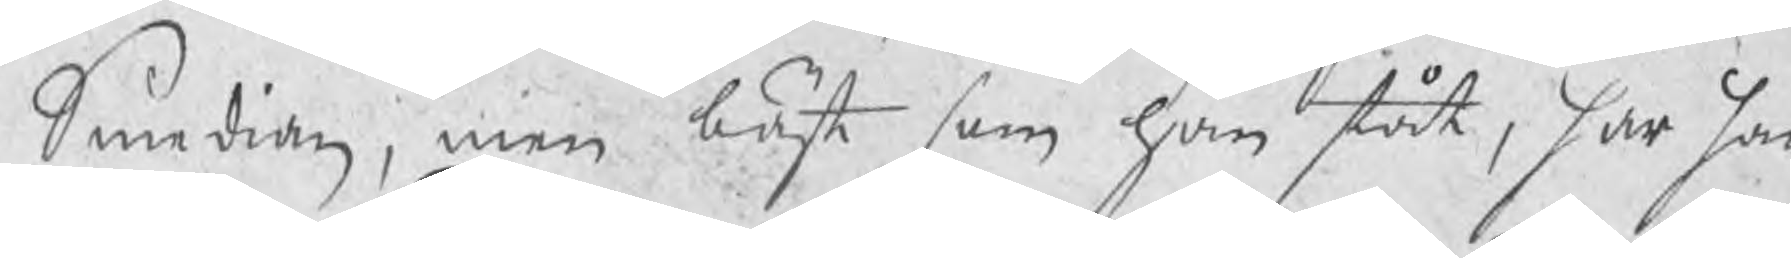Smedian, men bäst som han stödt, har han
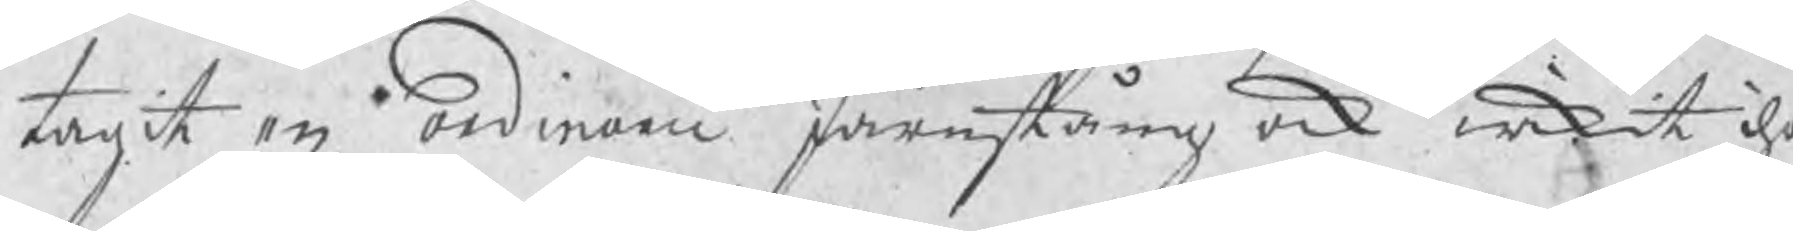tagit en ordinarie Järnstång ock wikit iho¬
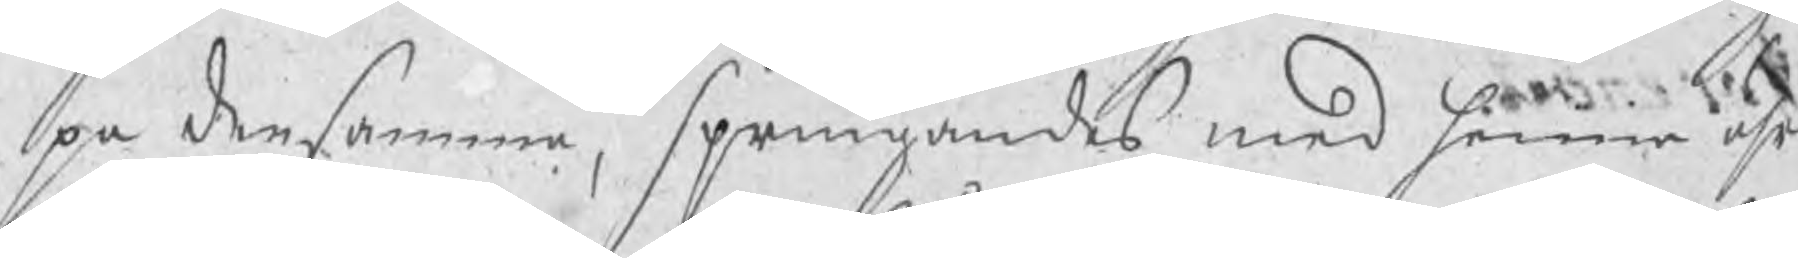pa densamma, springandes med henne uhr
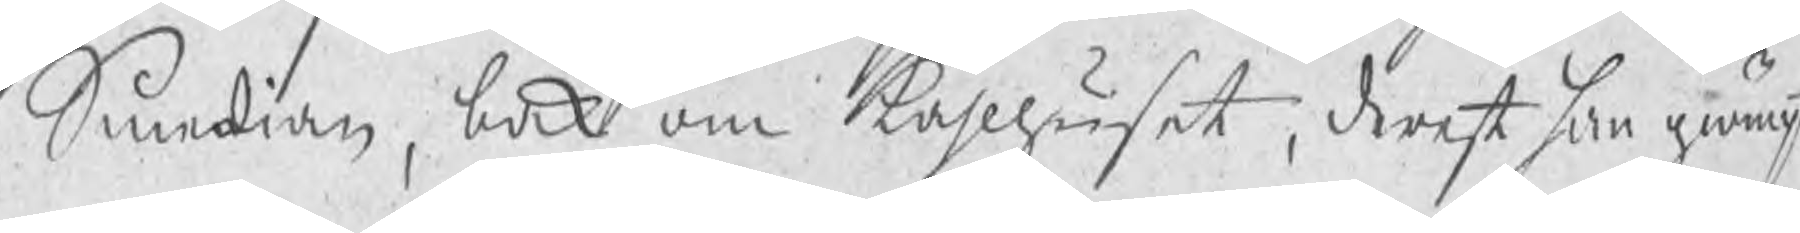Smedian, bak om kåhlhuset, derest han giömpt
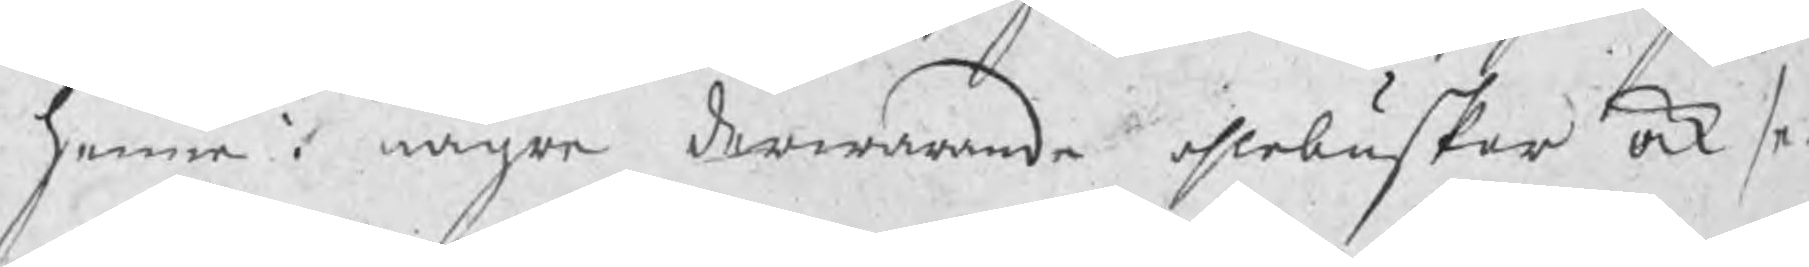henne i någre derwarande ahlebuskar ock se¬
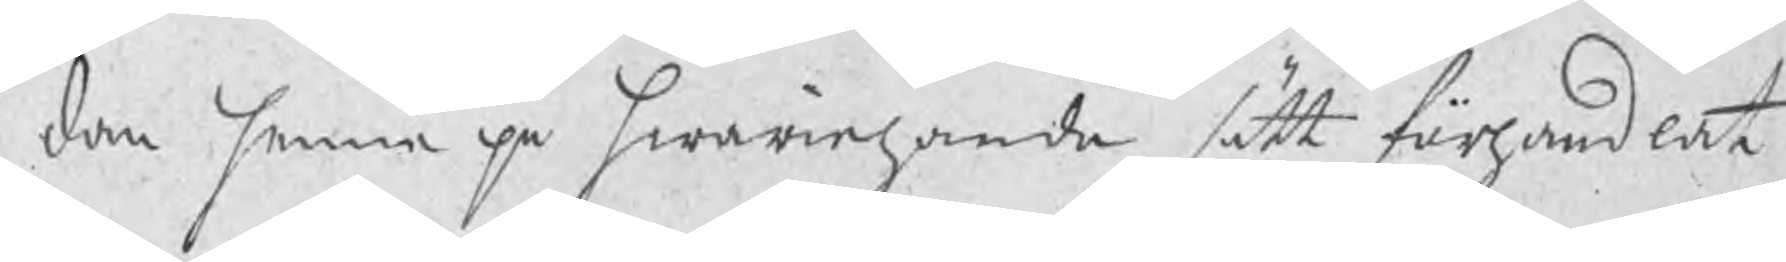dan henne på hwariehanda sätt förhandlat.
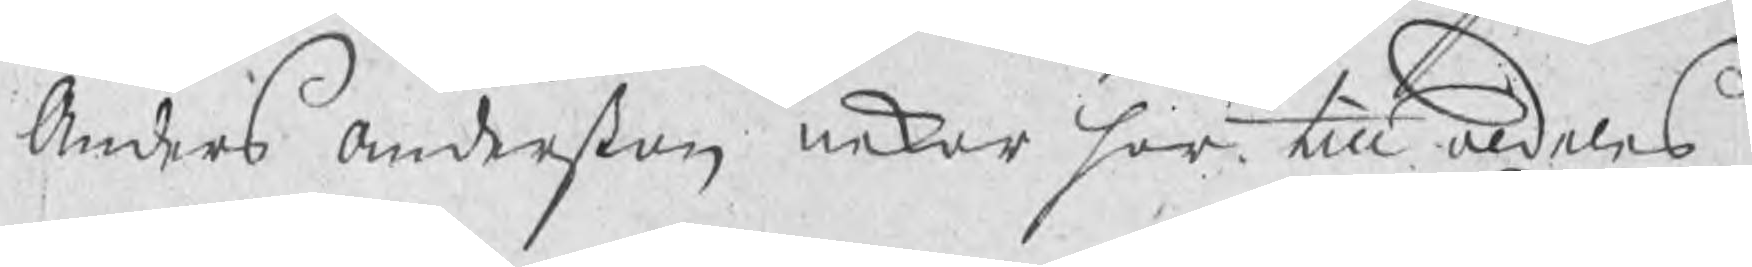Anders Anderßon nekar här till aldeles.
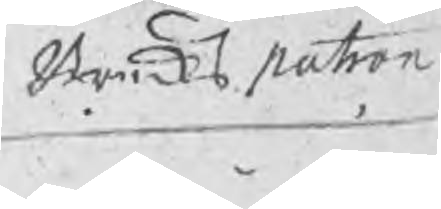Brukspatron
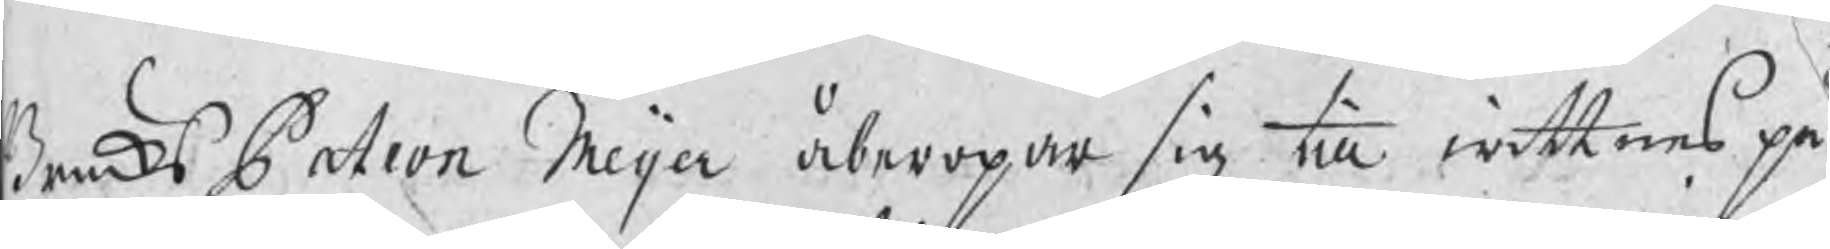BruksPatron Meijer åberopar sig till wittnes på
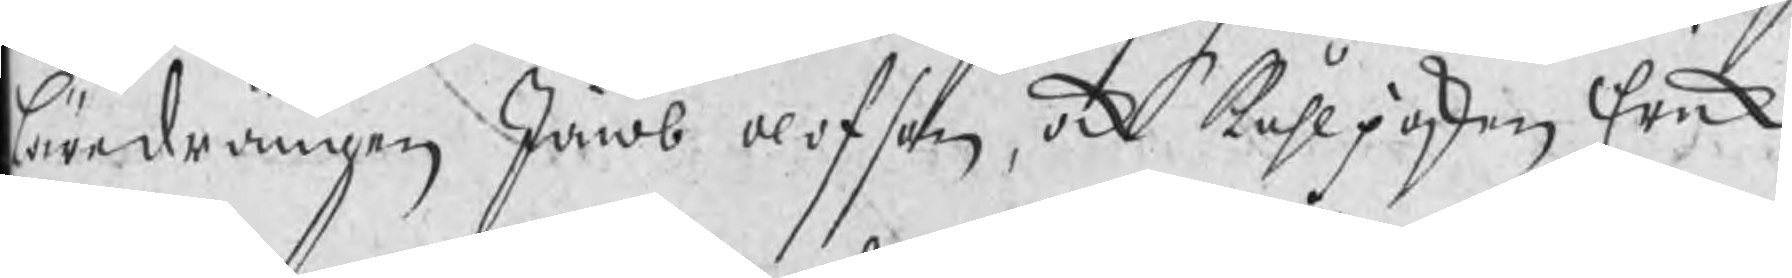Läredrängen Jacob Olofson, ock kåhlpojken Erik
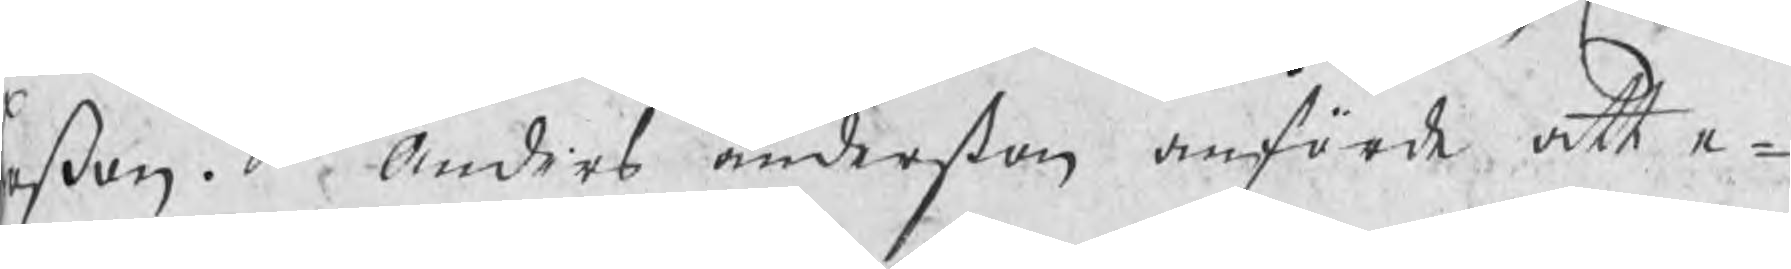Erßon. Anders Anderßon anförde att e¬
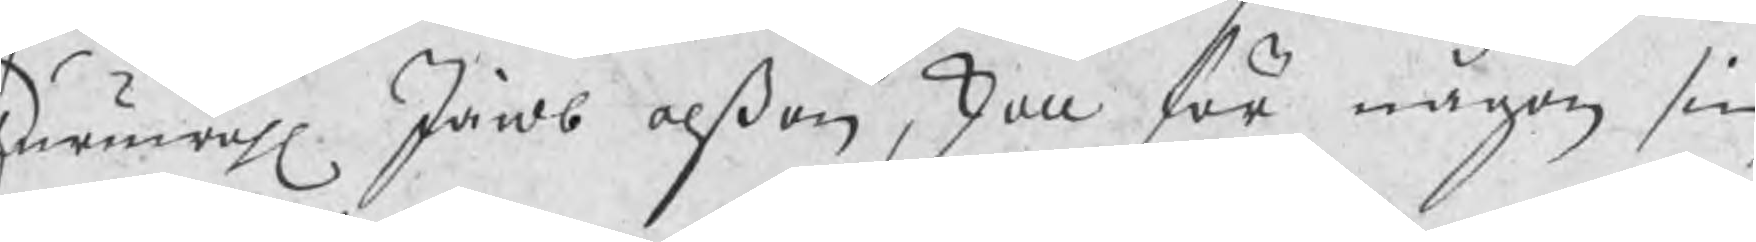huruwähl Jacob Olßon, skall för någon sin
